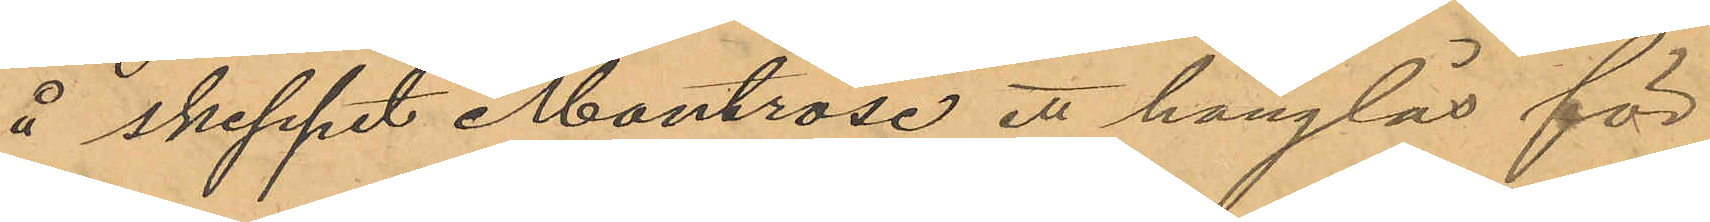å skeppet Montrose ett hänglås för
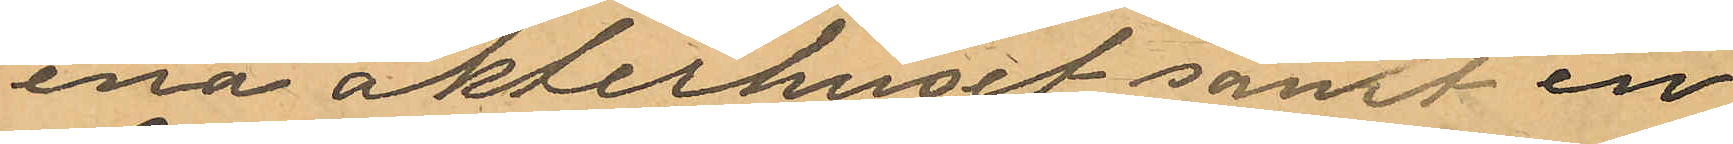ena akterhuset samt en
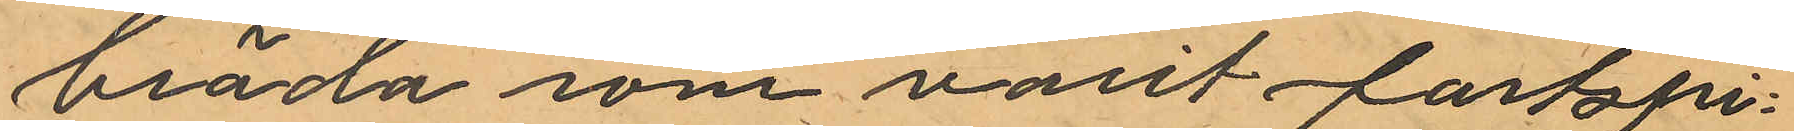bräda som varit fastspi¬
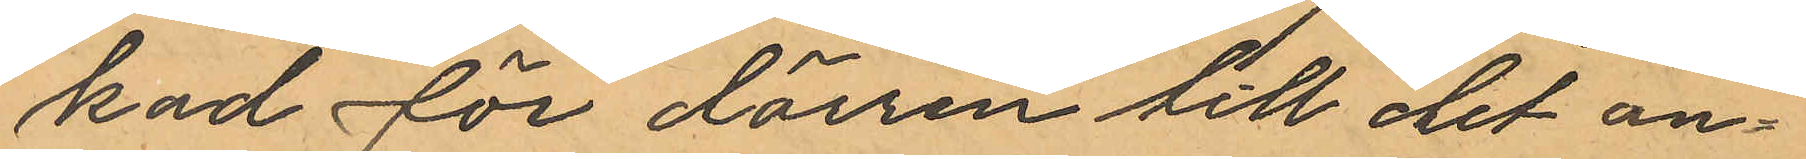kad för dörren till det an¬
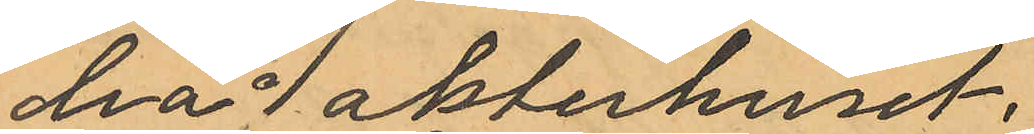dra  akterhuset,
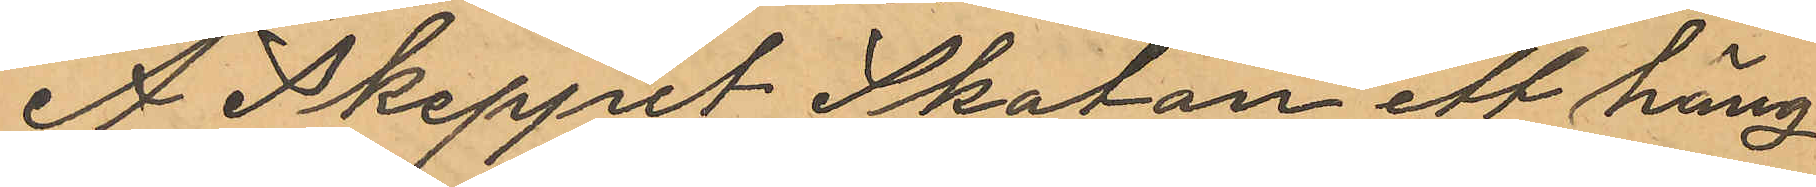Å Skeppel Skatan ett häng¬
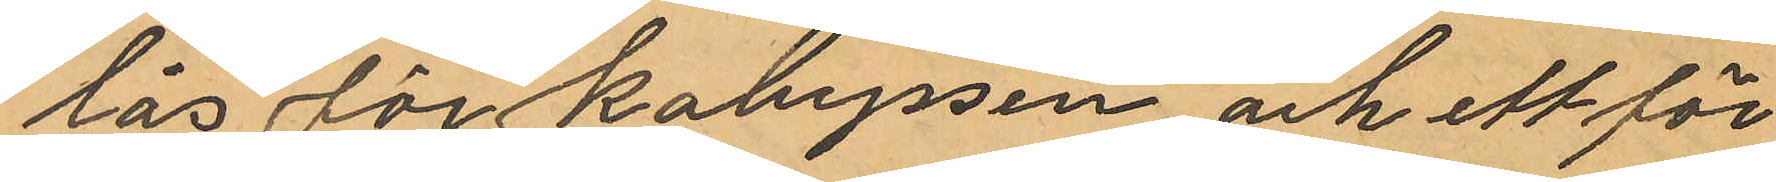lås för kabyssen och ett för
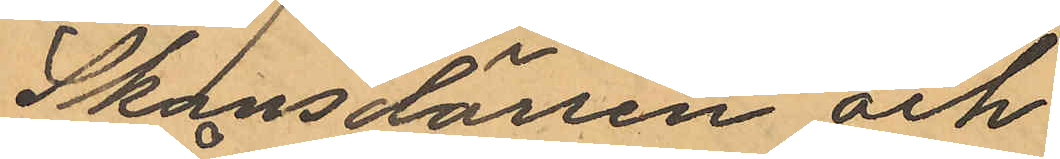Skansdörren och
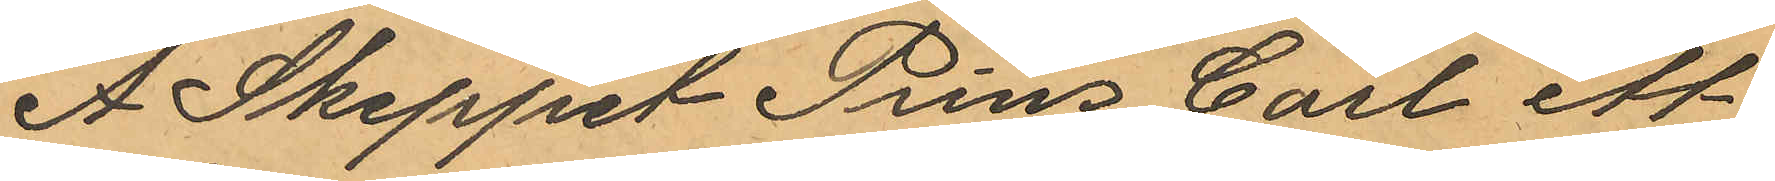Å. Skeppet Prins Carl ett
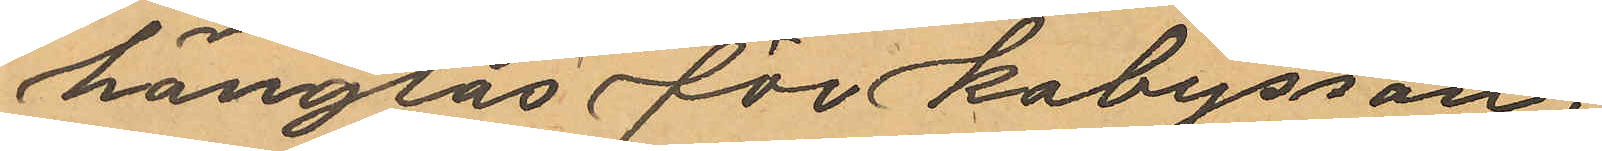hänglås för kabyssen,
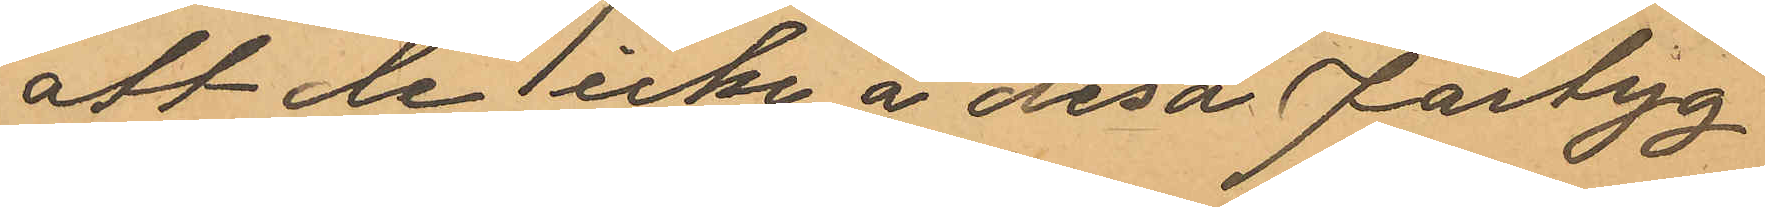att de icke å desa fartyg
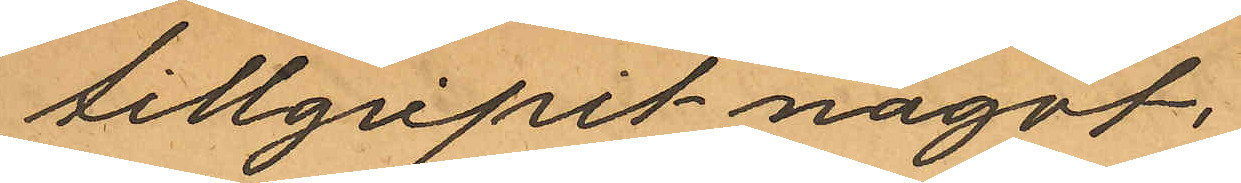tillgripit något,
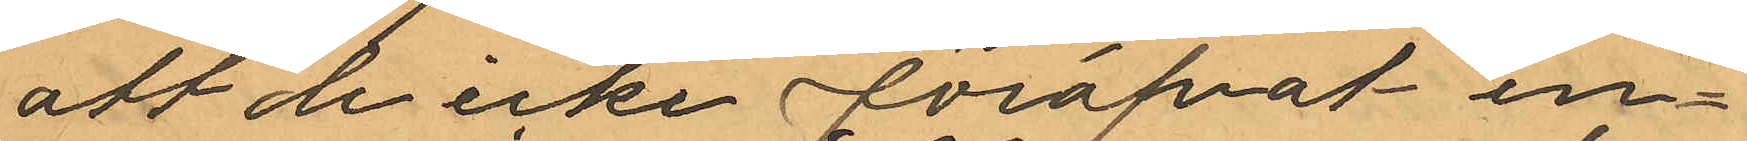att de icke föröfvat in¬
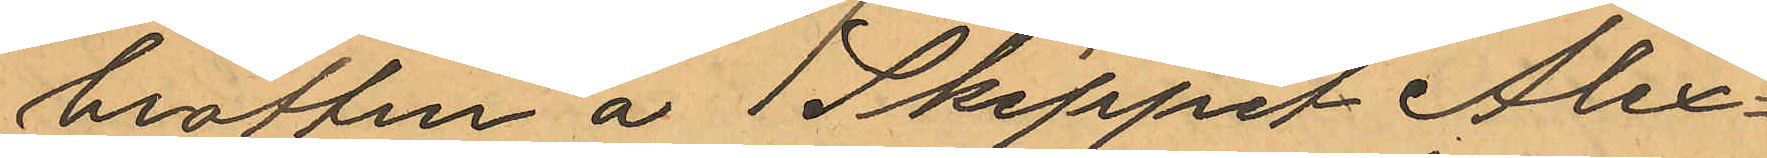brotten å Skeppel Alex¬
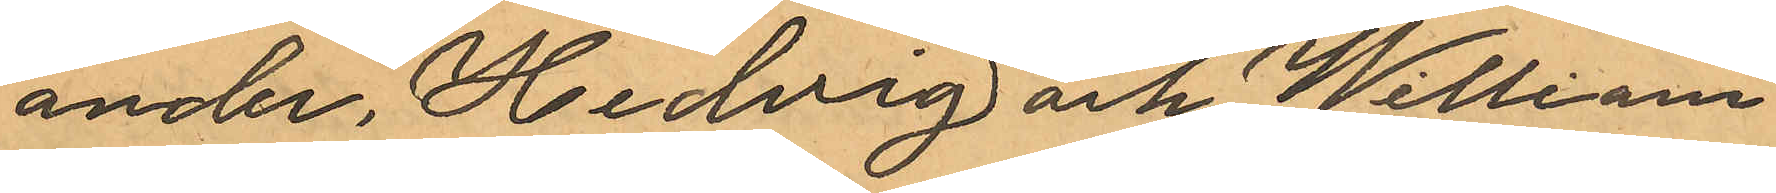ander, Hedvig och William
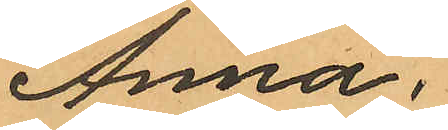Anna,
